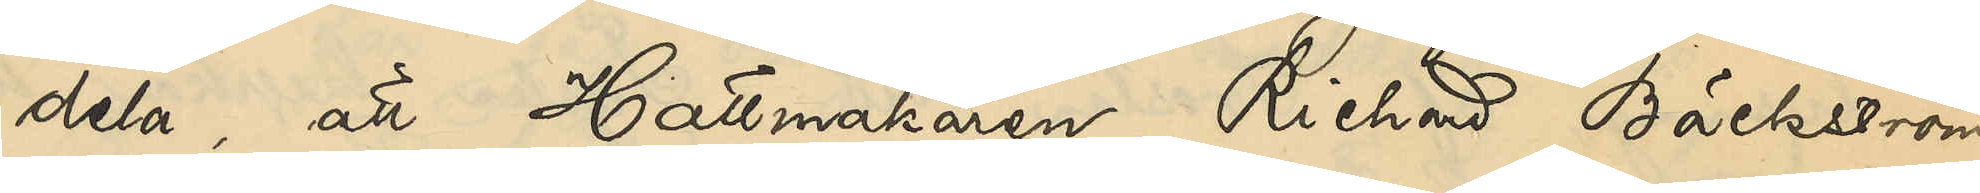dela, att Hattmakaren Richard Bäckström,
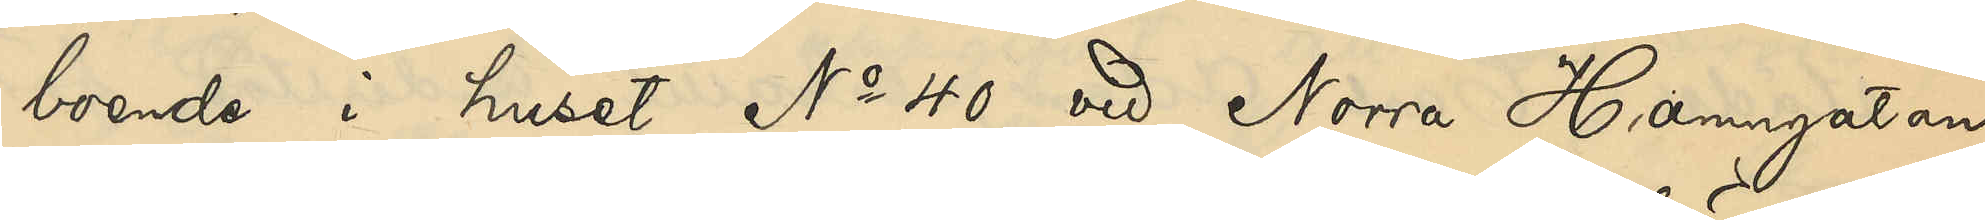boende i huset No 40 vid Norra Hamngatan,
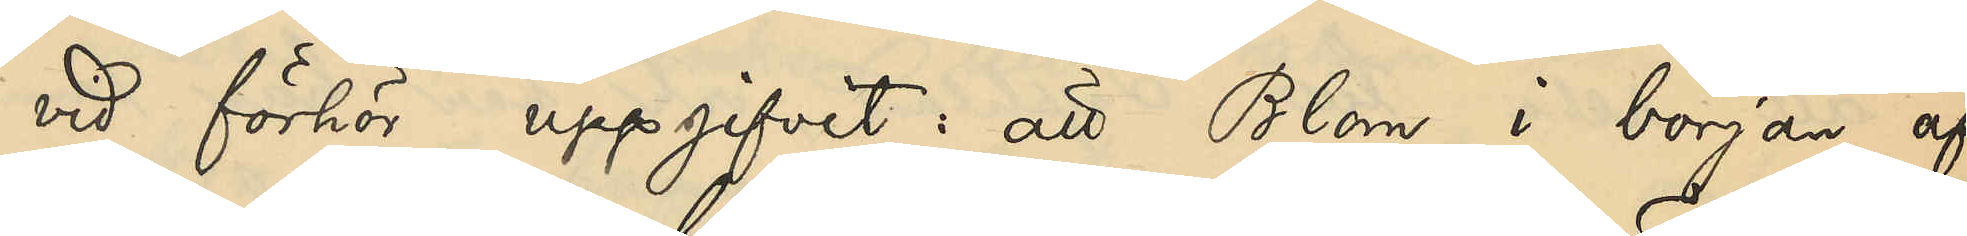vid förhör uppgifvit: att Blom i början af
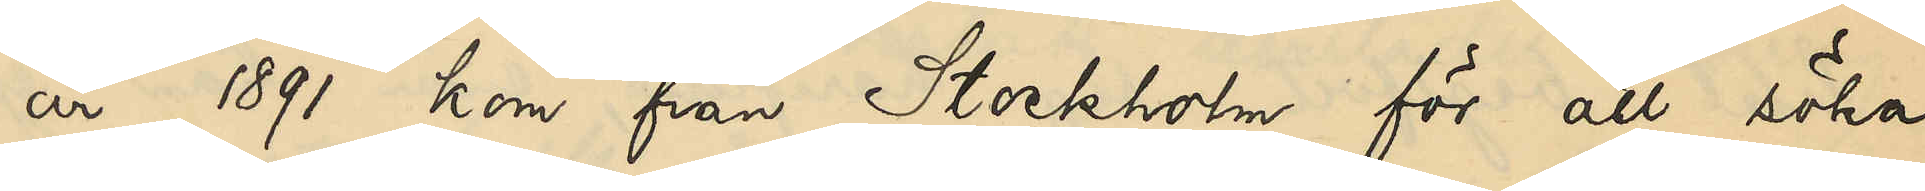år 1891 kom från Stockholm för att söka
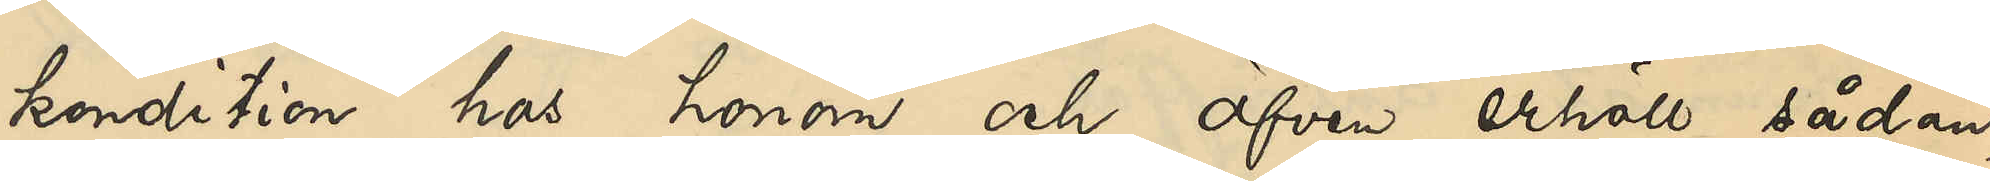kondition hos honom och äfven erhöll sådan,
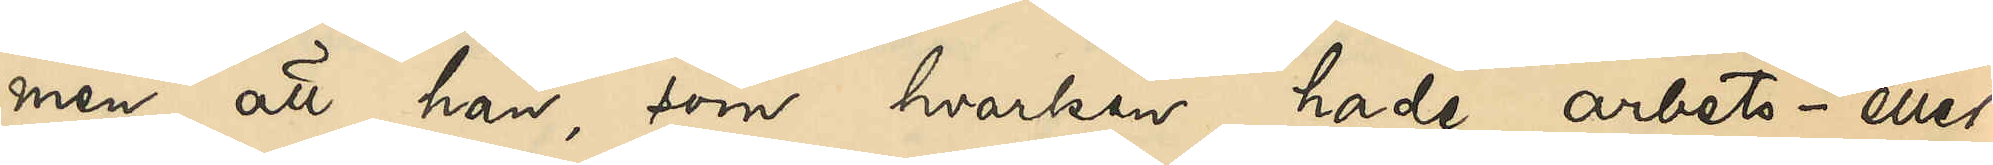men att han, som hvarken hade arbets- eller
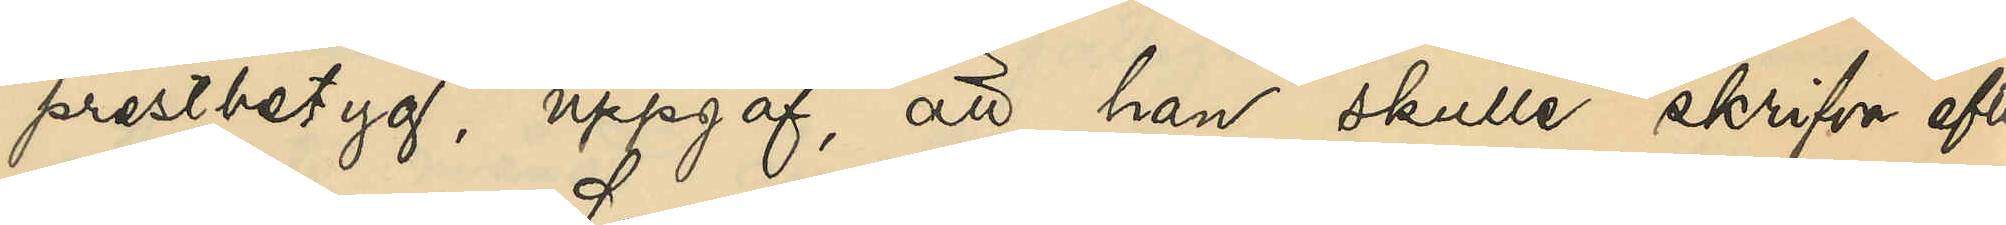prestbetyg, uppgaf, att han skulle skrifva efter
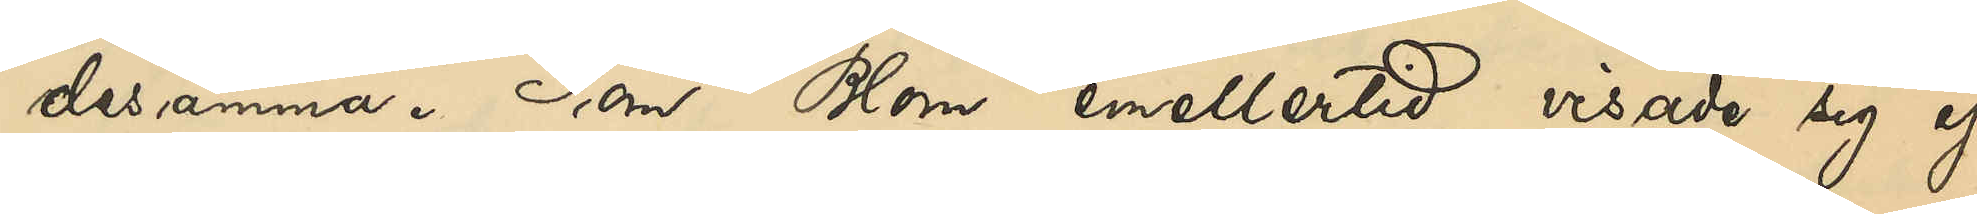desamma. Som Blom emellertid visade sig ej
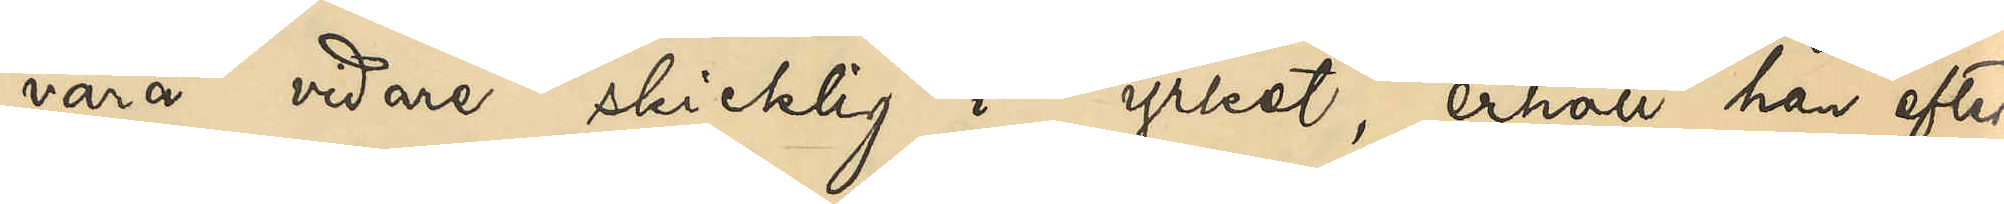vara vidare skicklig i yrket, erhöll han efter
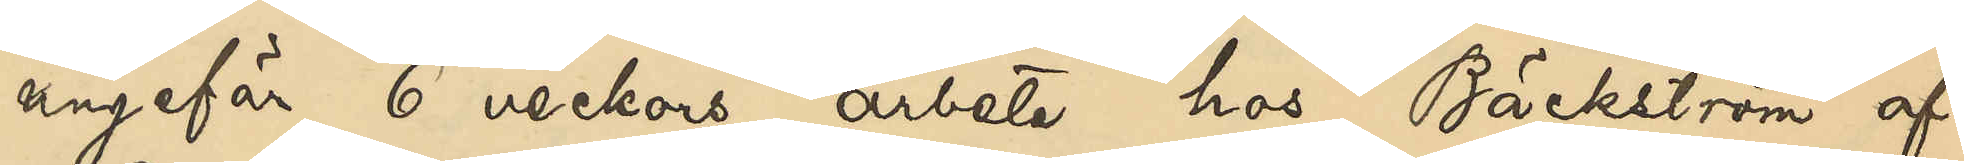ungefär 6 veckors arbete hos Bäckström af¬
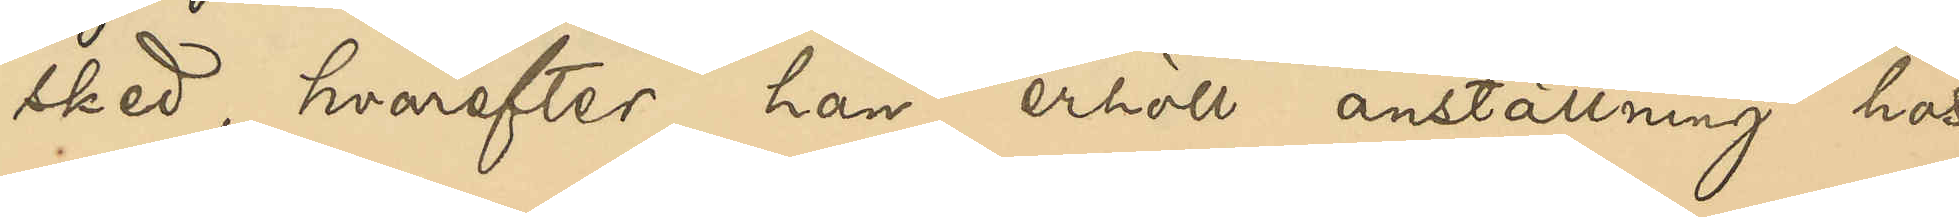sked, hvarefter han erhöll anställning hos
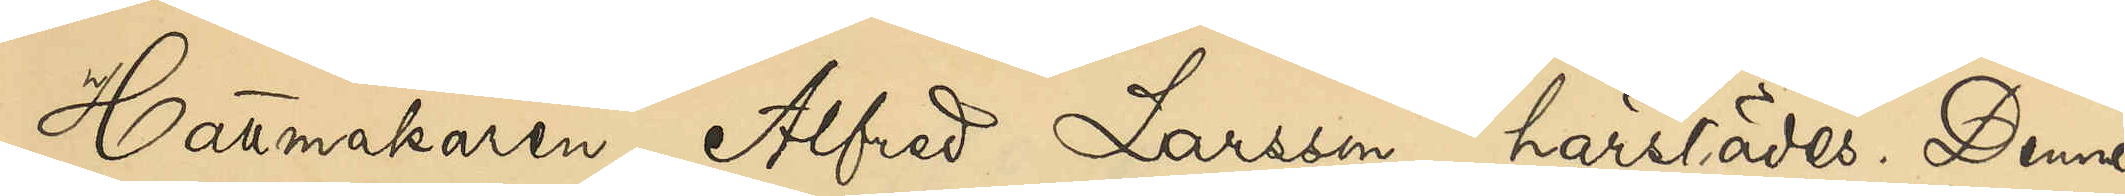Hattmakaren Alfred Larsson härstädes. Denne
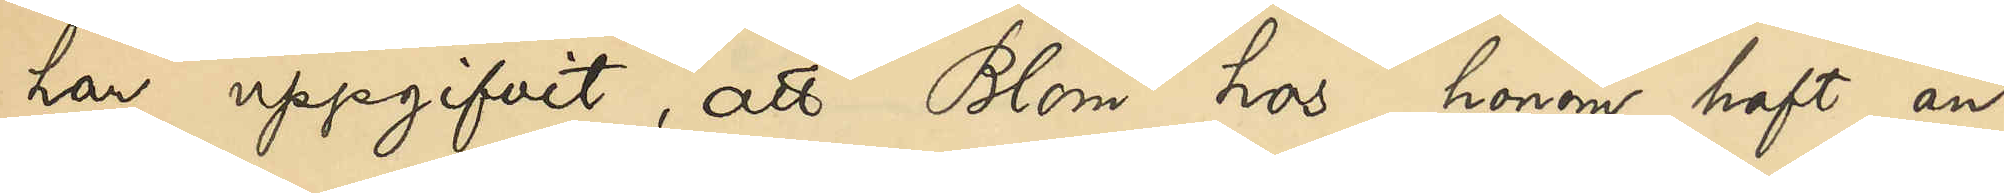har uppgifvit, att Blom hos honom haft an¬
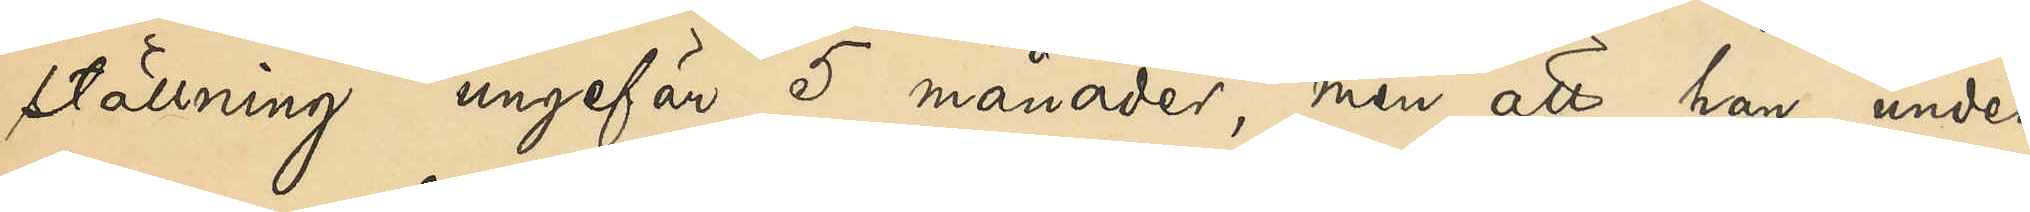ställning ungefär 5 månader, men att han
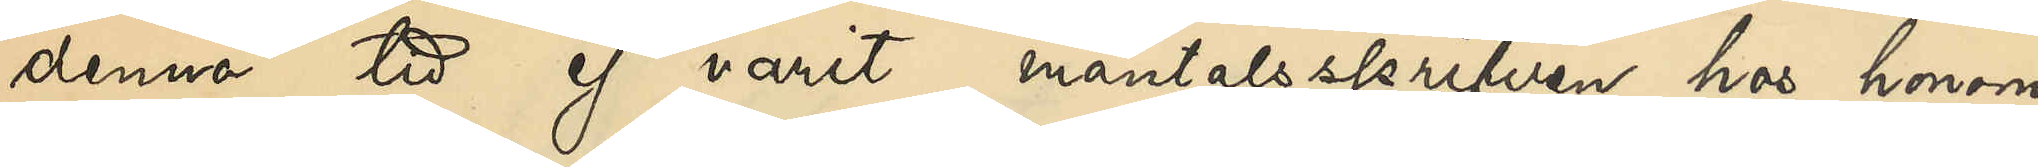denna tid ej varit mantalsskrifven hos honom
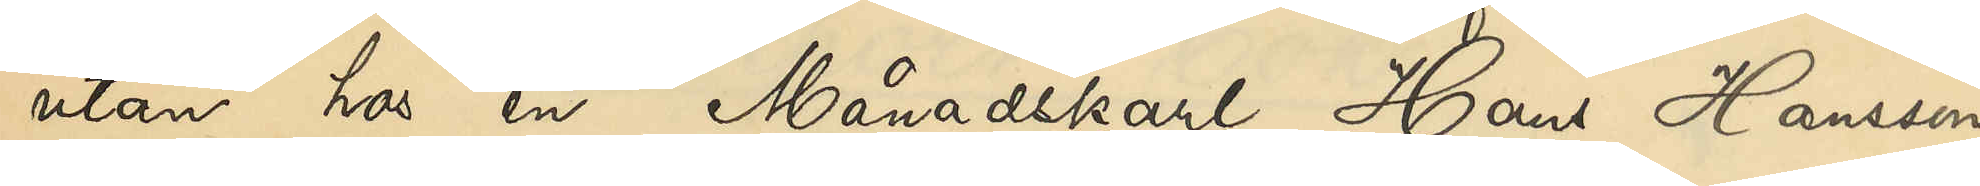utan hos en Månadskarl Hans Hanssen,
